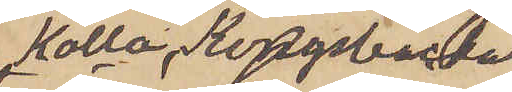Kolla, Kongsbacka
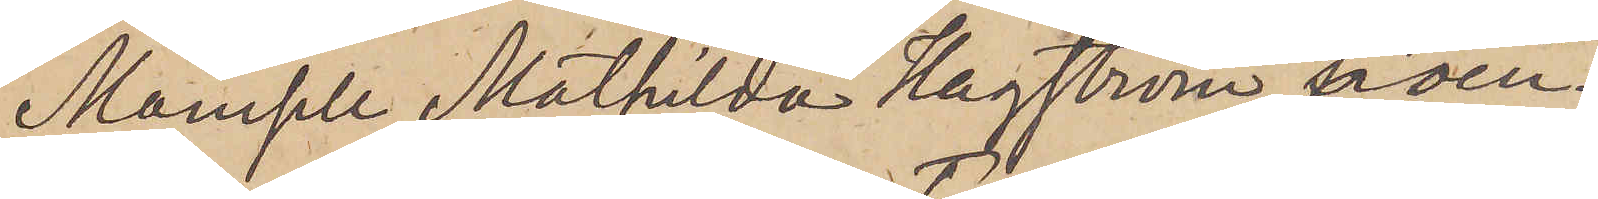Mamsell Mathilda Hagström, boen¬
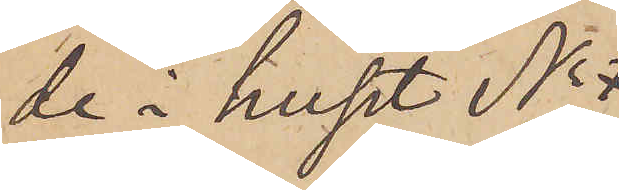de i huset No 
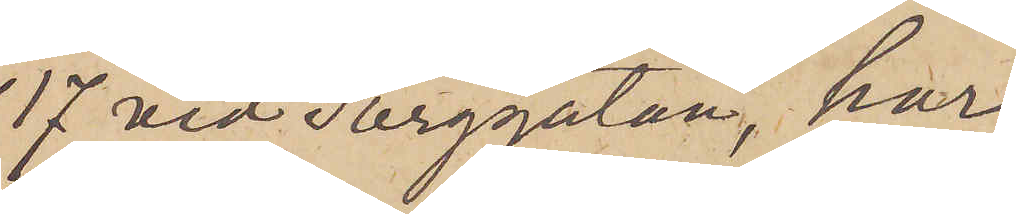17 vid Torggatan, har
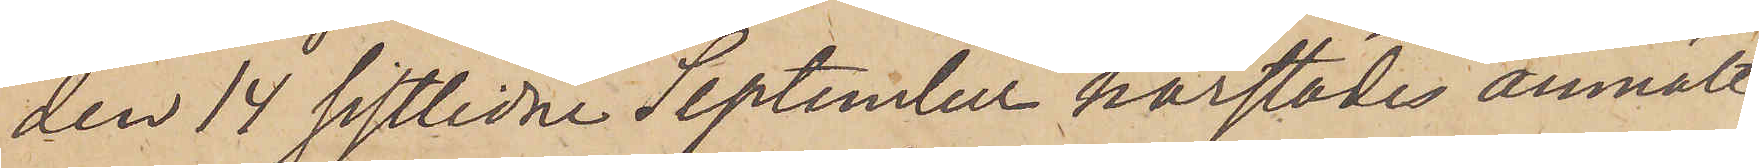den 14 sistlidne September härstädes anmält,
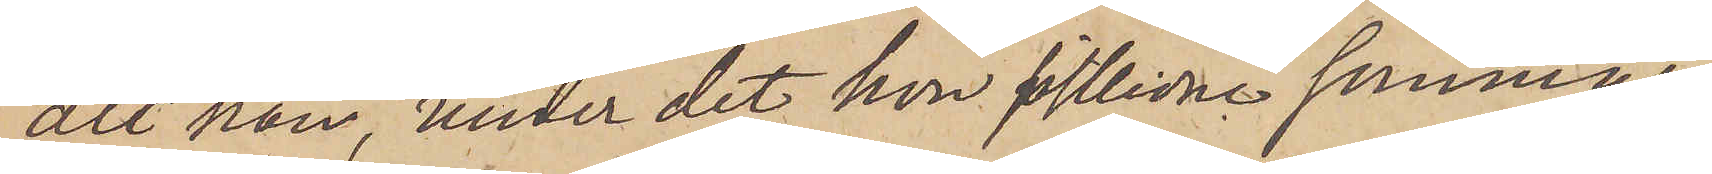att hon, under det hon sistlidne sammar
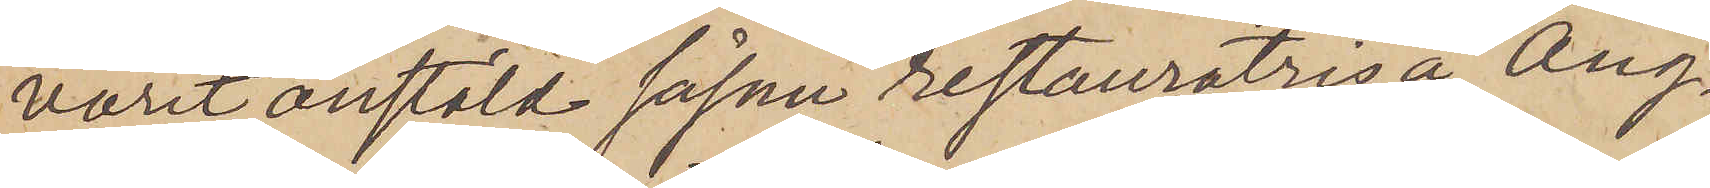varit anstäld såsom restauratris å Ång¬
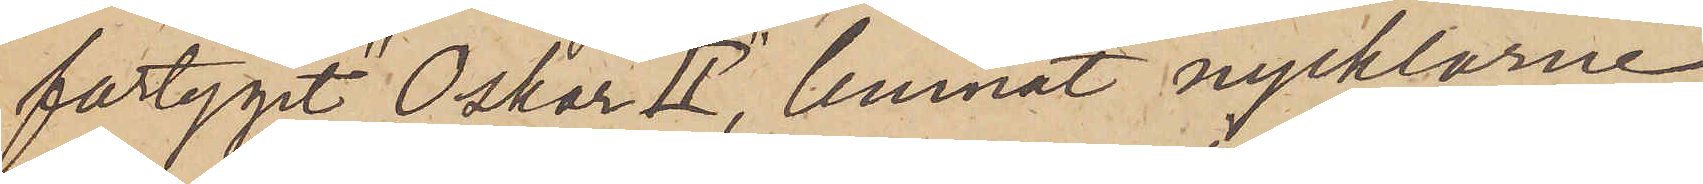fartyget "Oskar II" lemnat nycklarne
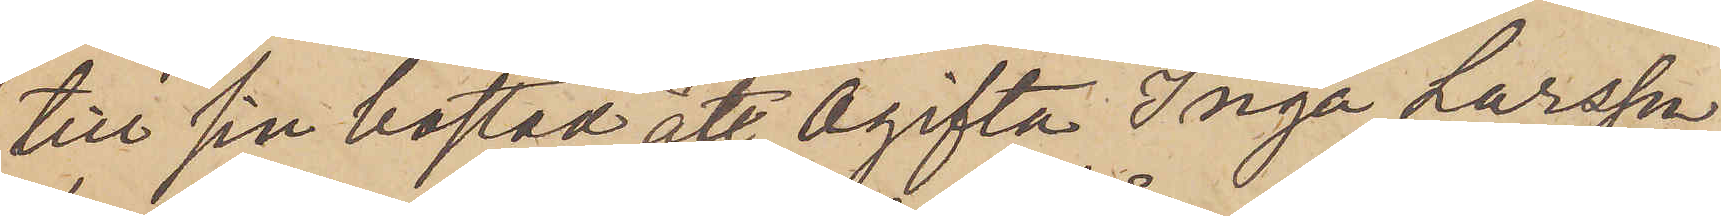till sin bostad åt Ogifta Inga Larsson,
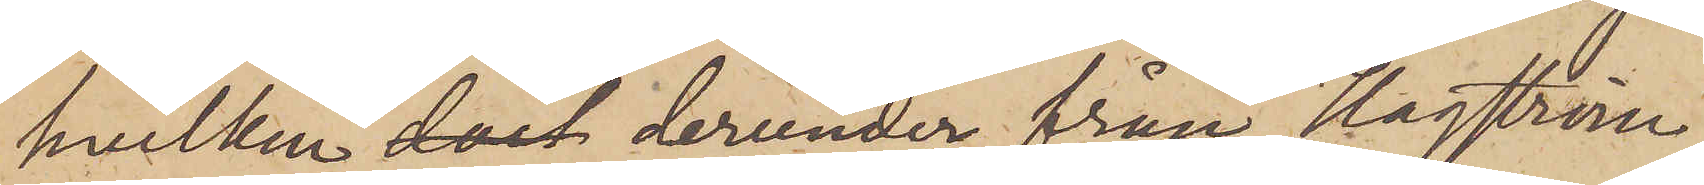hvilken dock derunder från Hagström
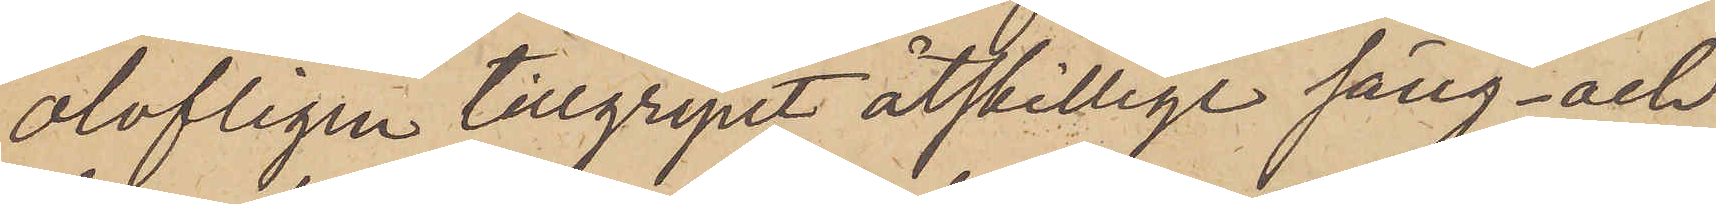olofligen tillgripit åtskillige säng- och
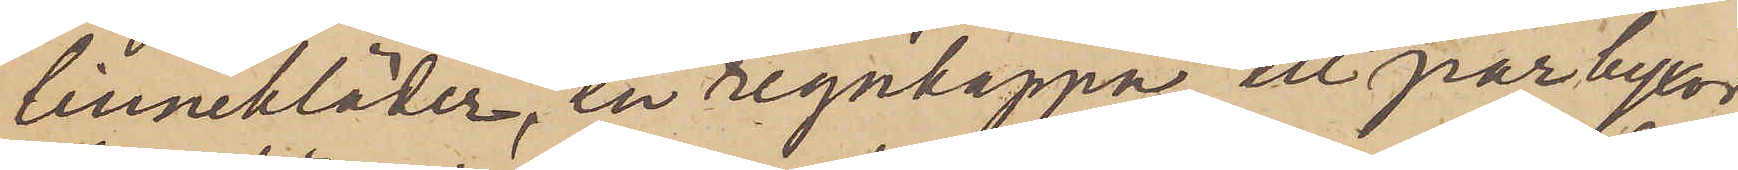linnekläder, en regnkappa, ett par byxor,
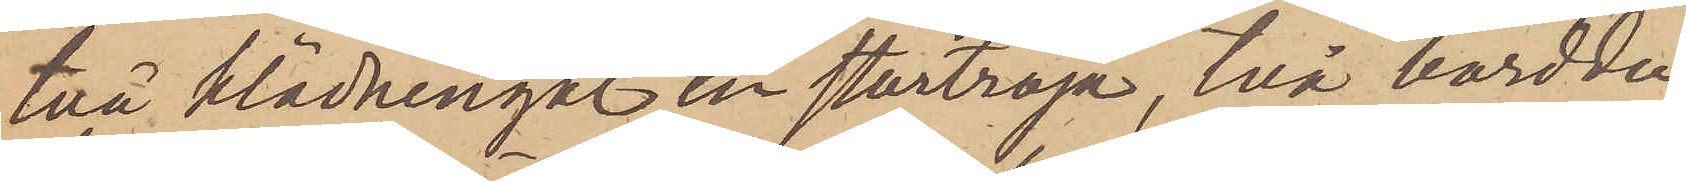två klädningar, en stortröja, två borddu¬
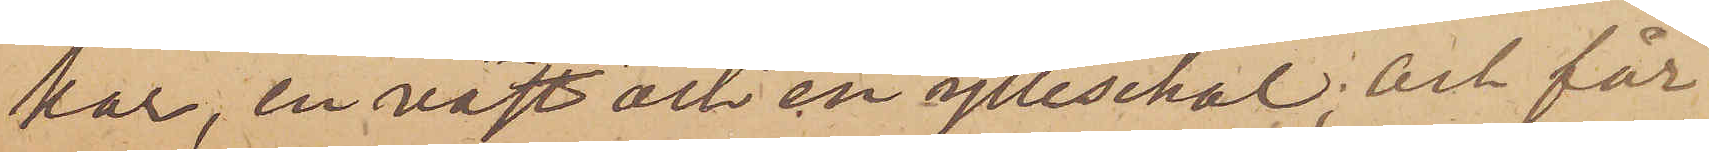kar, en väst och en ylleschal; och får
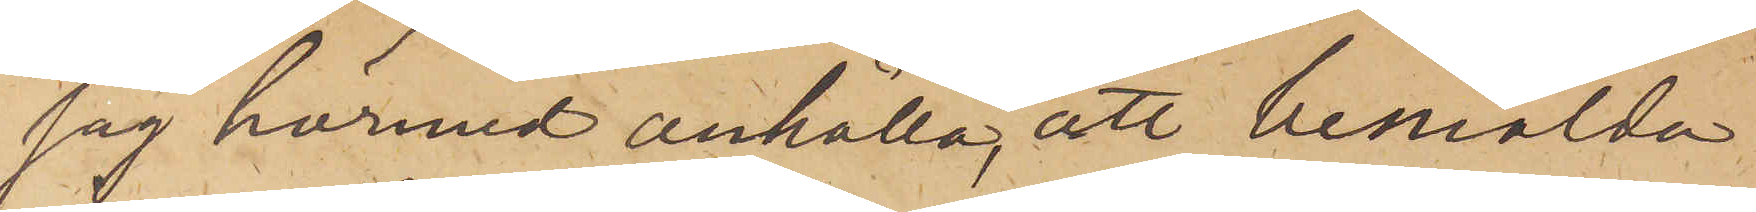jag härmed anhålla, att bemälda
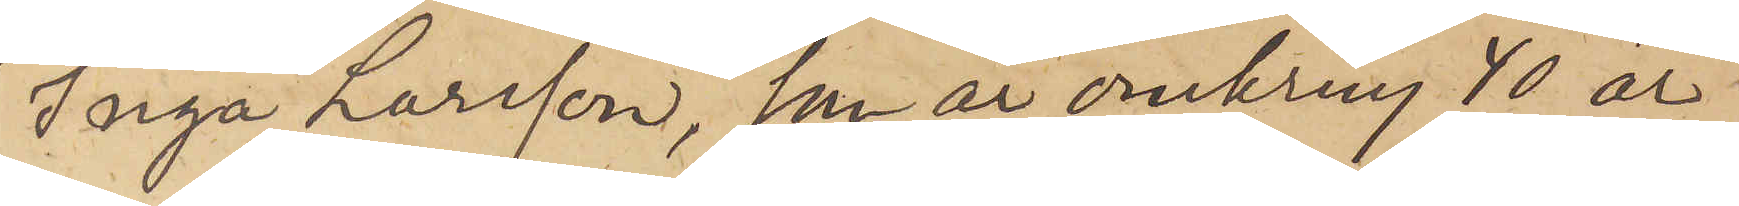Inga Larsson, som är omkring 40 år
